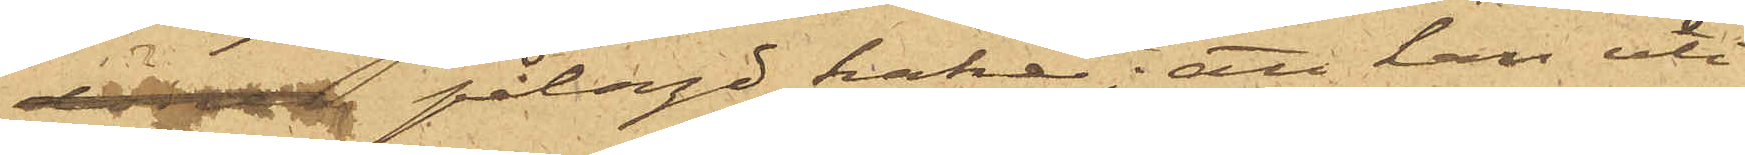 pålagd hake; att han uti
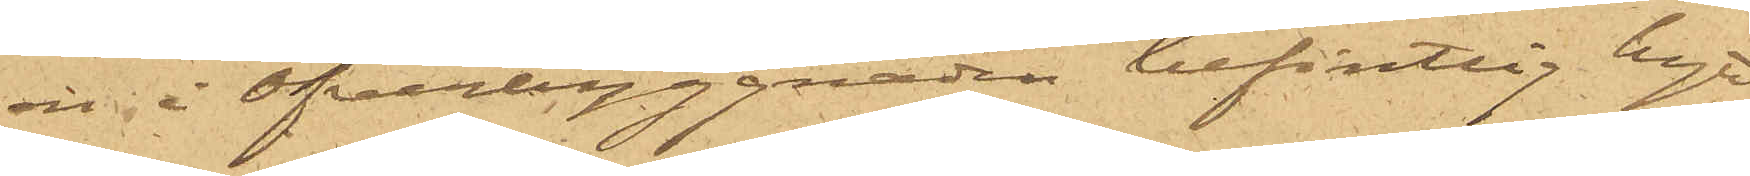en i öfverbyggnaden befintlig hytt
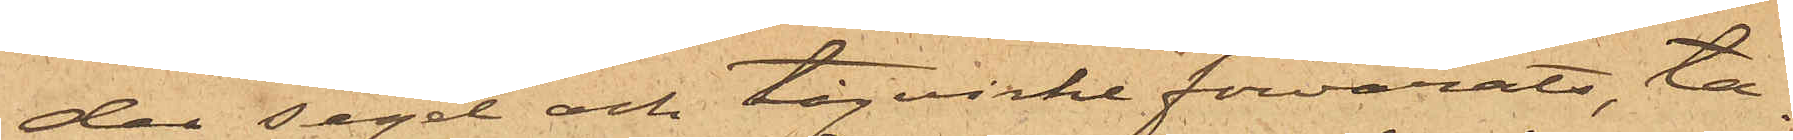der segel och tågvirke förvarats, ta¬
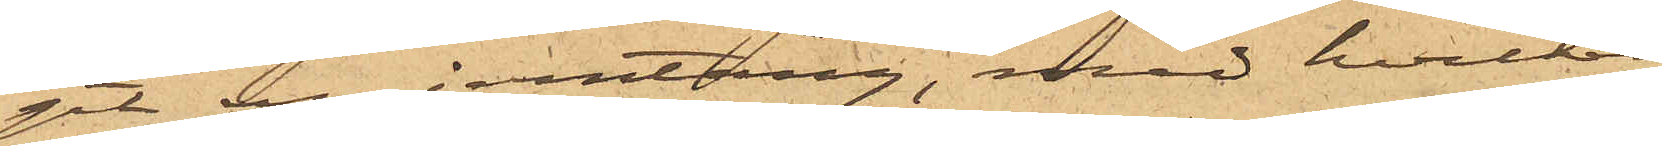git en jernstång, med hvilken
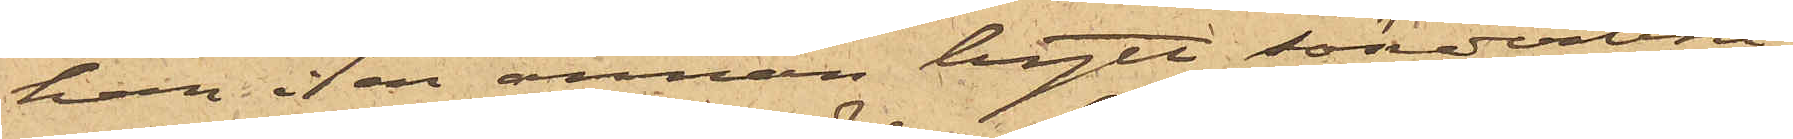han i en annan hytt sönderbru¬
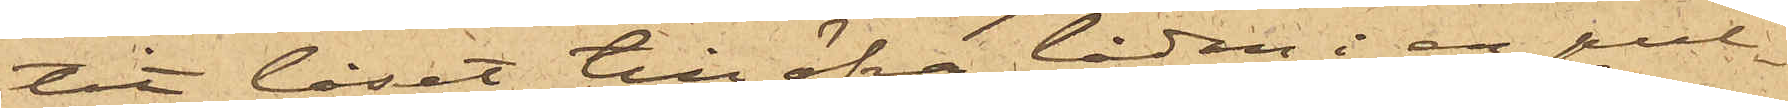tit låset till öfre lådan i en pul¬
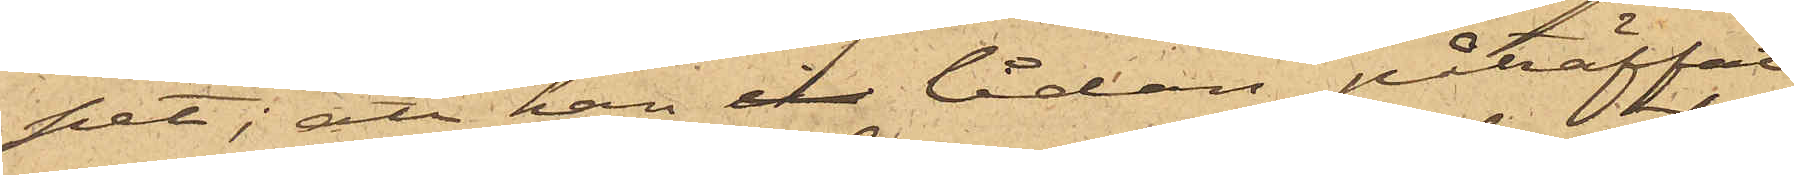pet; att han i lådan påträffat
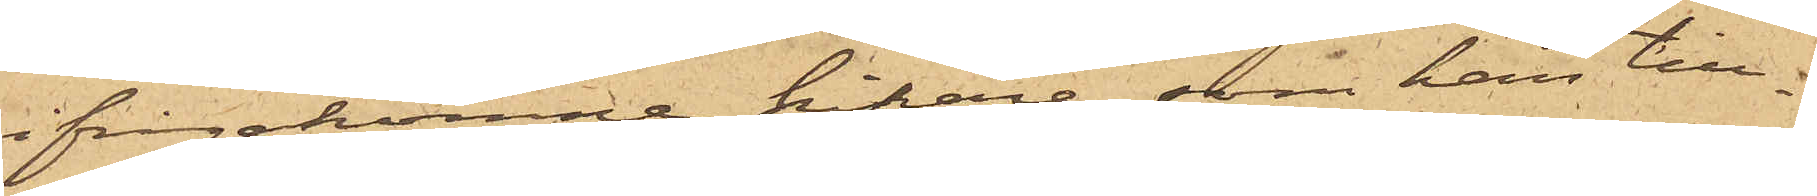ifrågakomne kikare, som han till¬
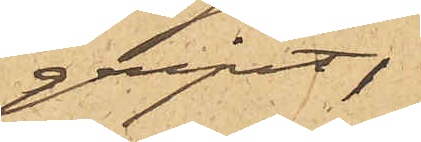gripit,
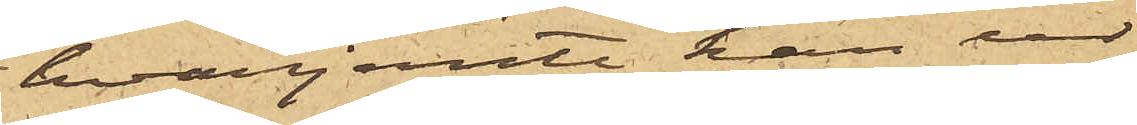hvarjemte han ur
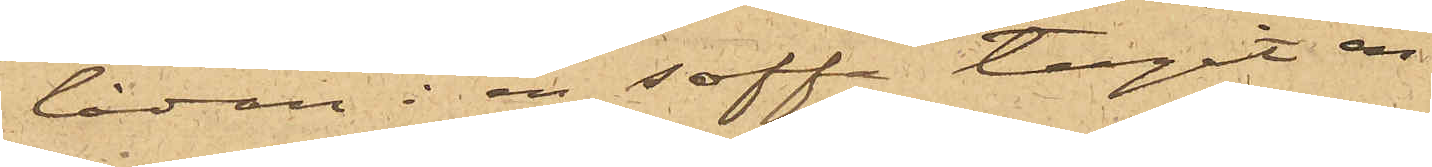lådan i en soffa tagit en
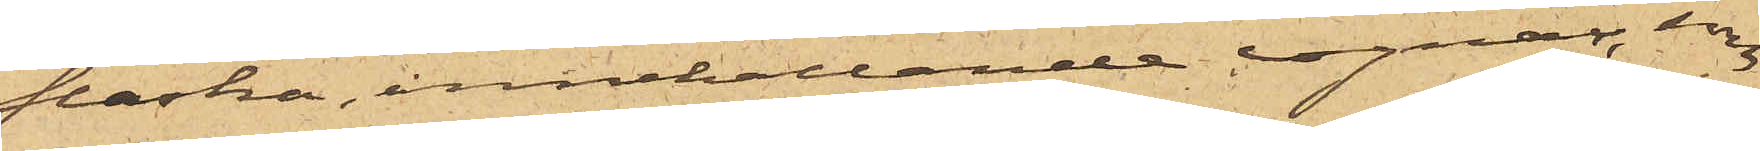flaska, innehållande cognac, som
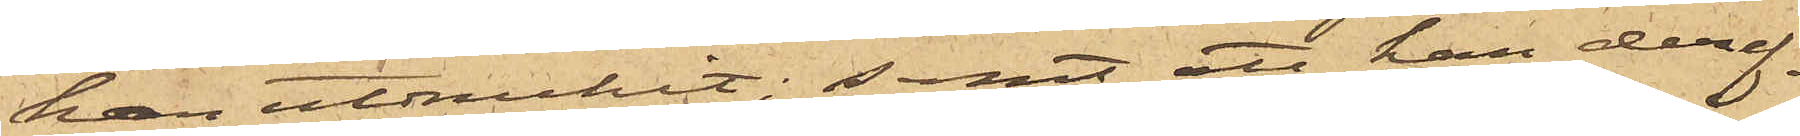han utdruckit; samt att han deref¬
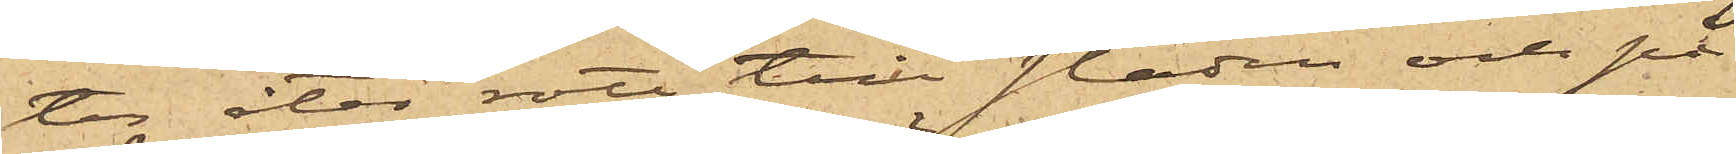ter åter rott till staden och på
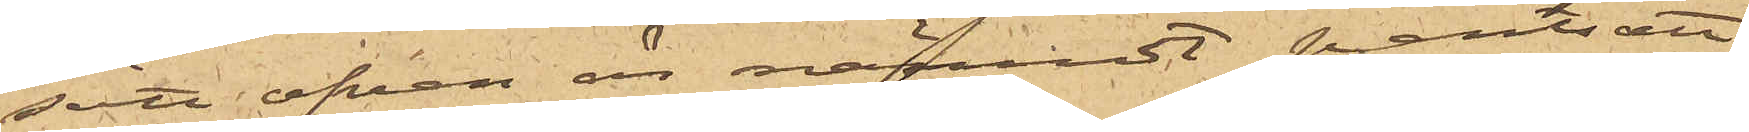sätt ofvan är nämndt pantsatt
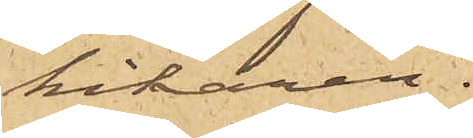kikaren.
